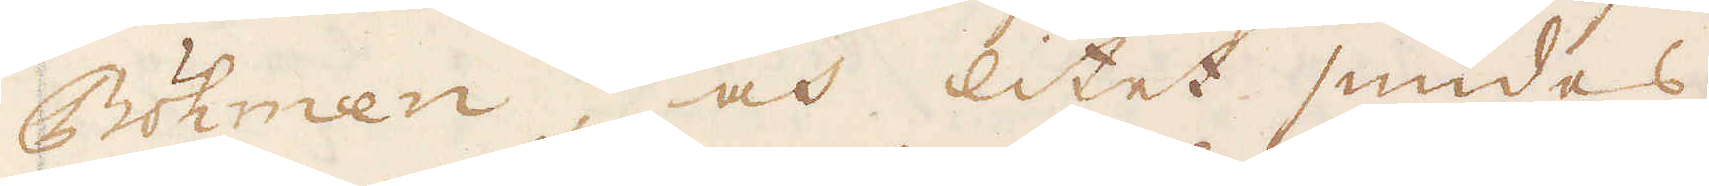Böhmen, och litet smides
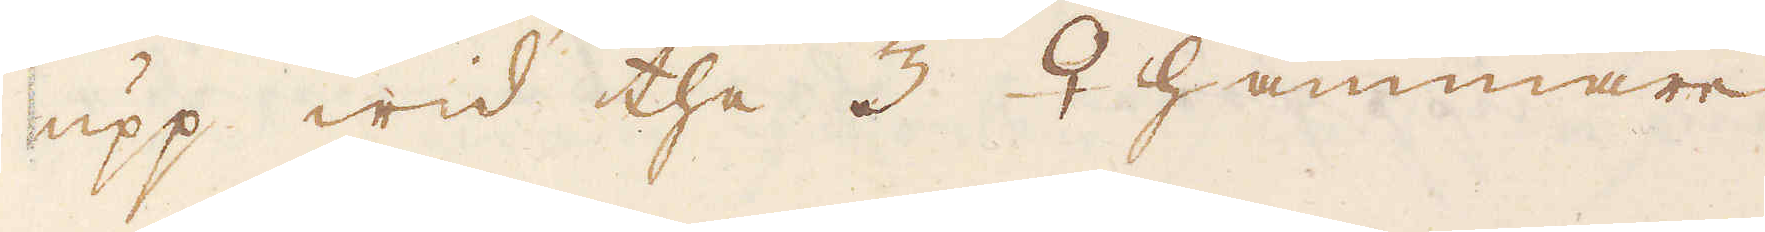upp wid the 3 ♀ hammare
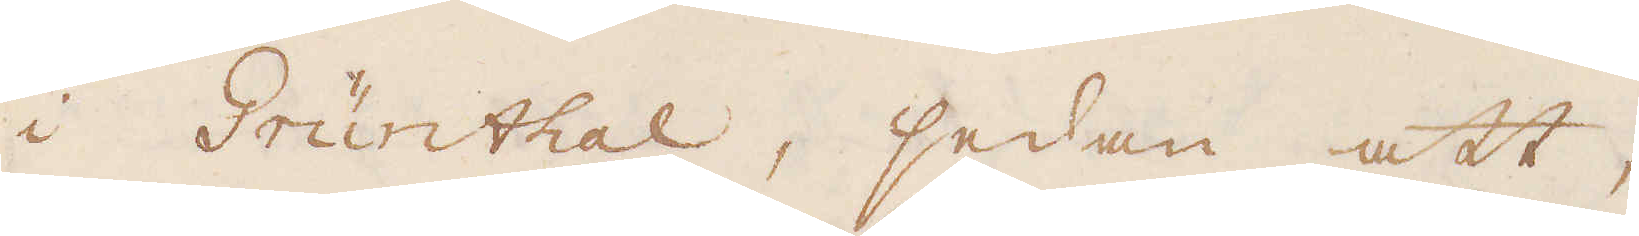i Grünthal, sedan att,
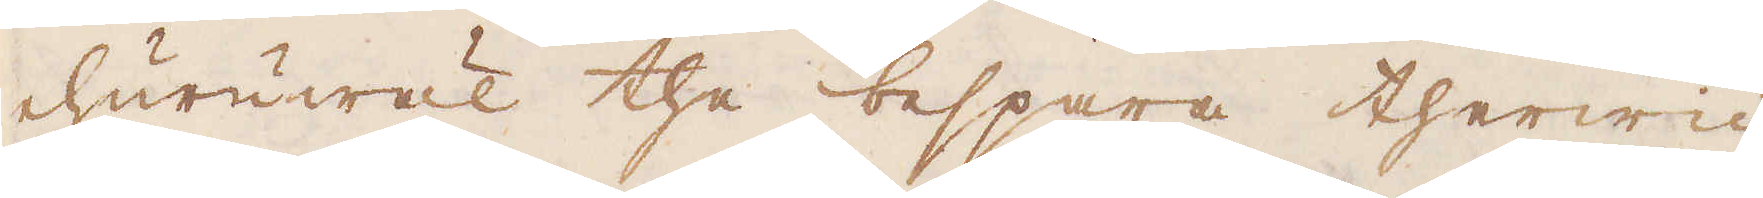ehuruwäl the bespara therwid
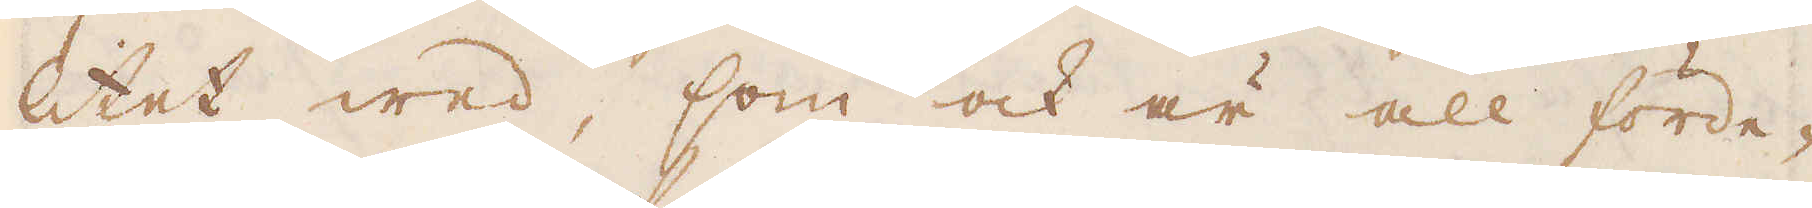litet wed, som ock är all förde-
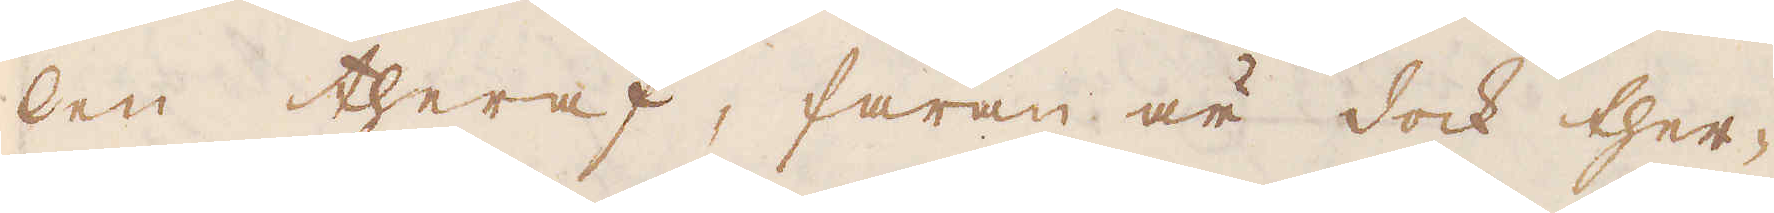len theraf, faran är dock ther-
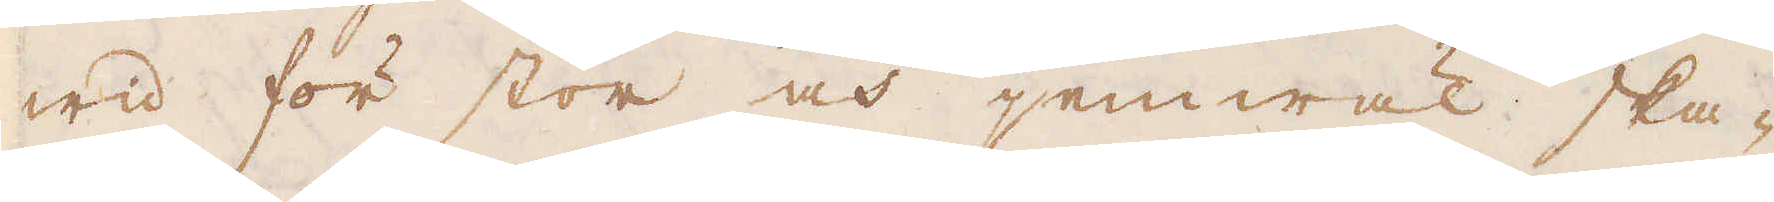wid för stor och jemwäl ska-
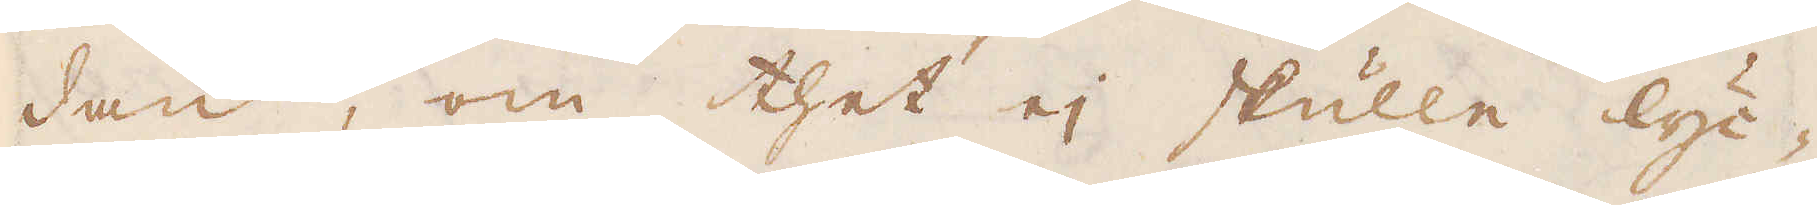dan, om thet ej skulle lyc-
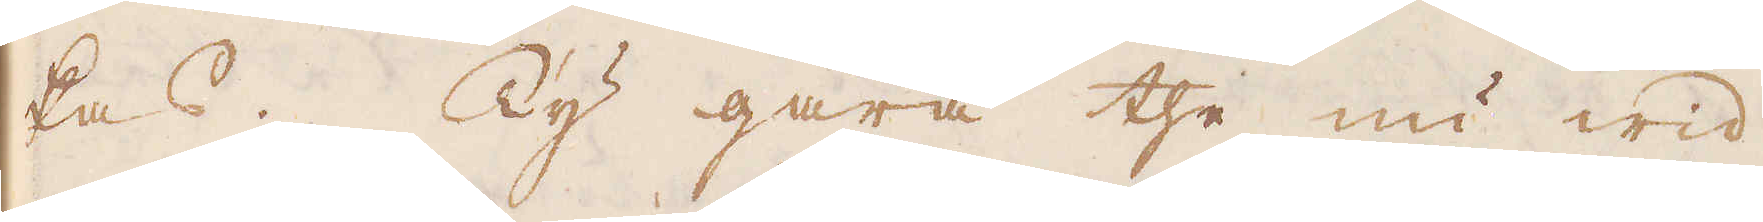kas. Ty gåra the nu wid
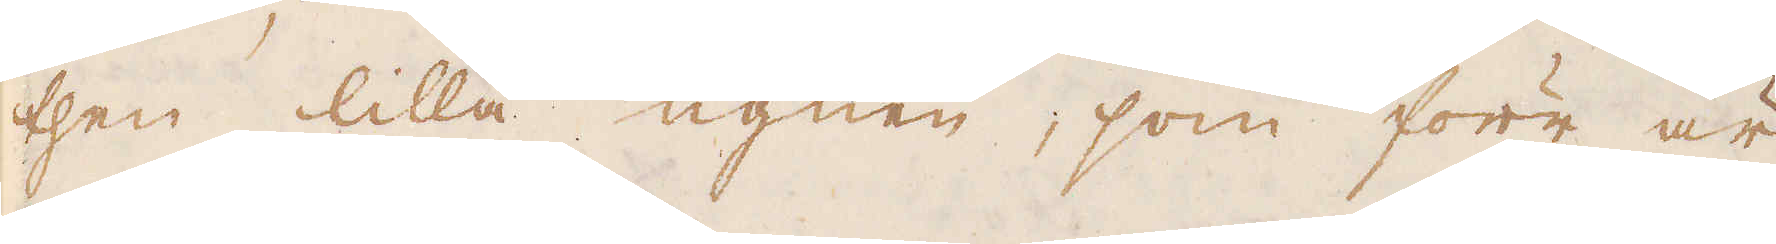then lilla ugnen, som förr är
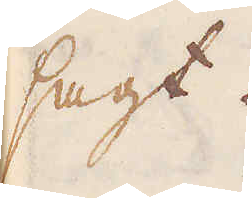sagt.
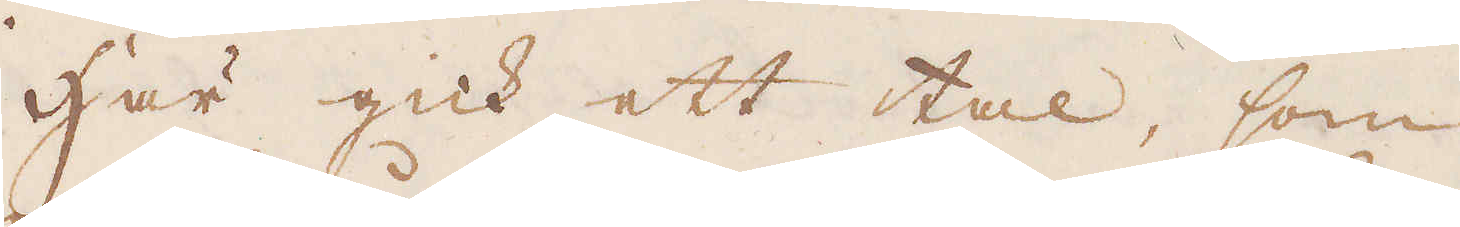Här gick ett tal, som
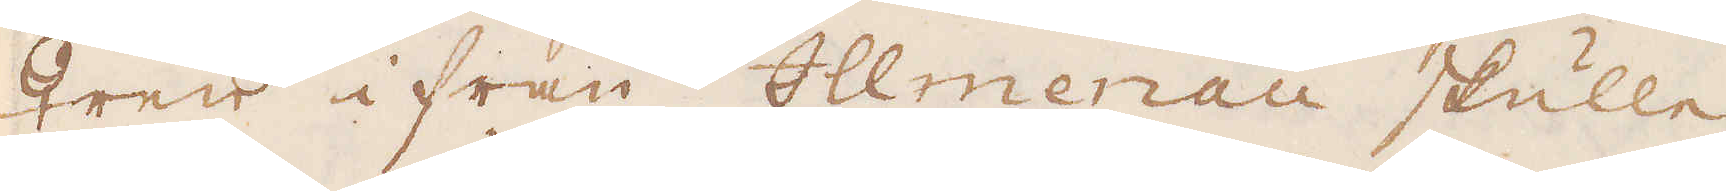♀ren i från Ollmenau skulle
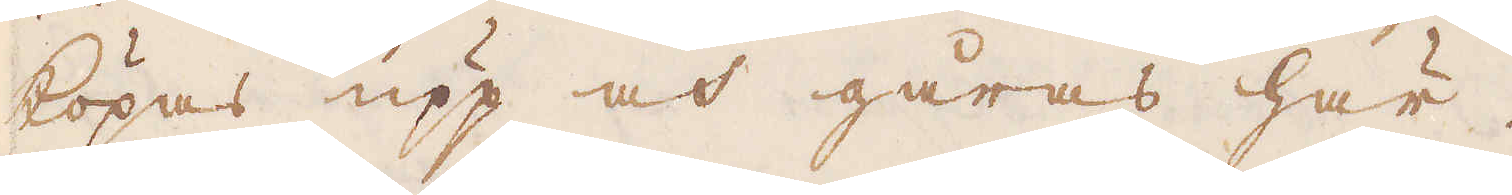köpas upp och gåras här.
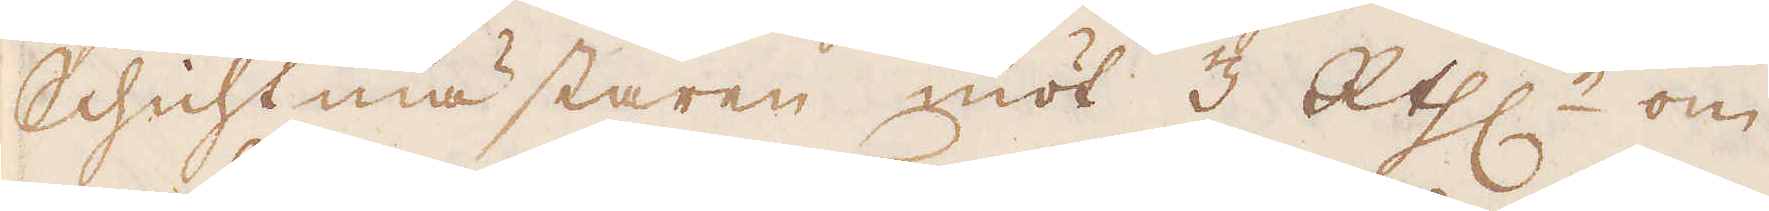Schichtmästaren niöt 3 R:thlr om
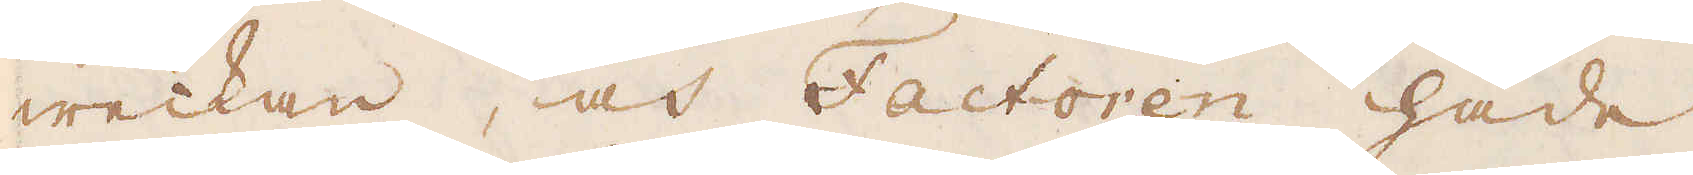weckan, och Factoren hade
